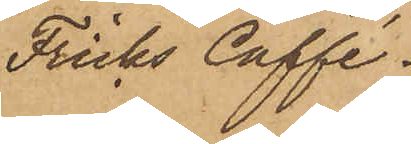Fricks Caffé.
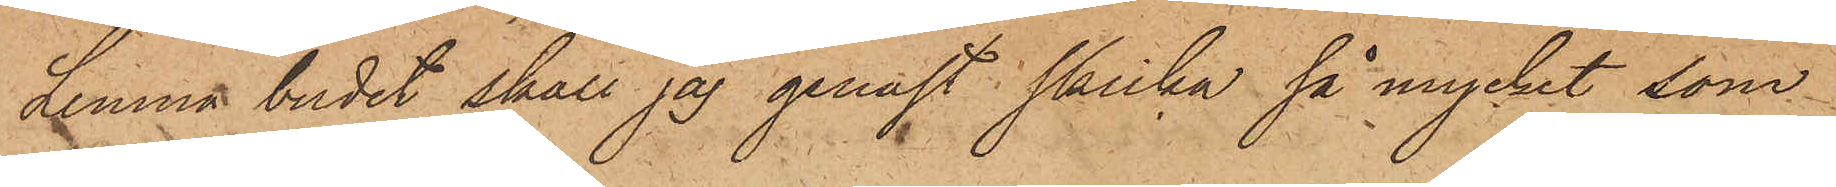Lemna budet skall jag genast skicka så mycket som
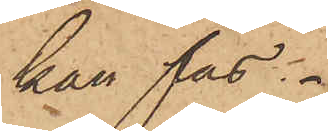kan fås.
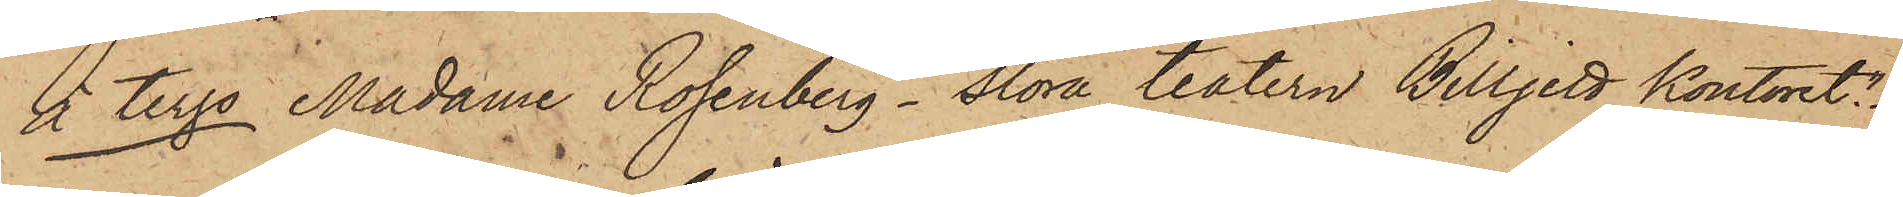À tergo Madame Rosenberg - Stora teatern Billjett Kontoret".
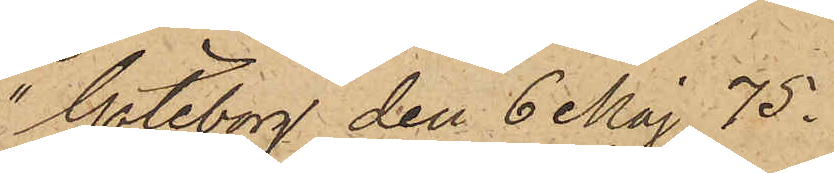"Göteborg den 6 Maj 75.
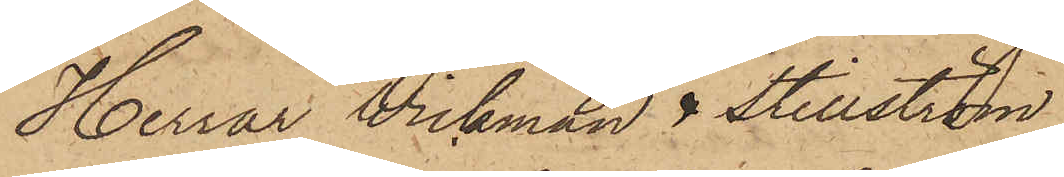Herrar Wickman & Stillström
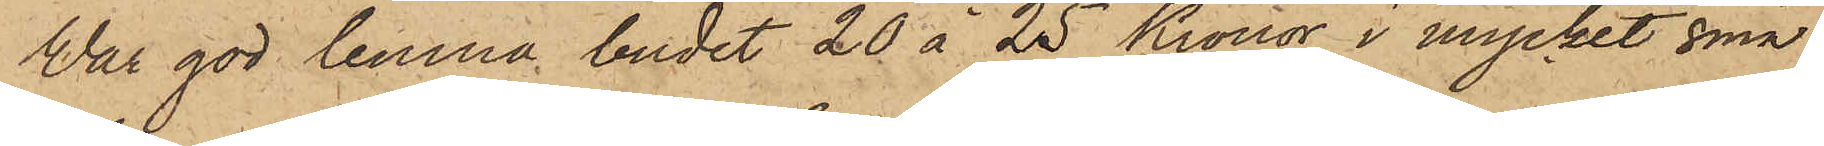Var god lemna budet 20 à 25 Kronor i mycket små
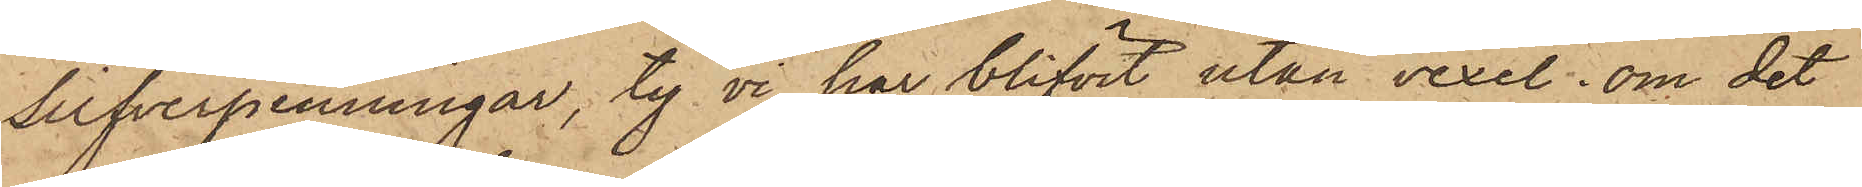silfverpenningar, ty vi har blifvit utan vexel. om det
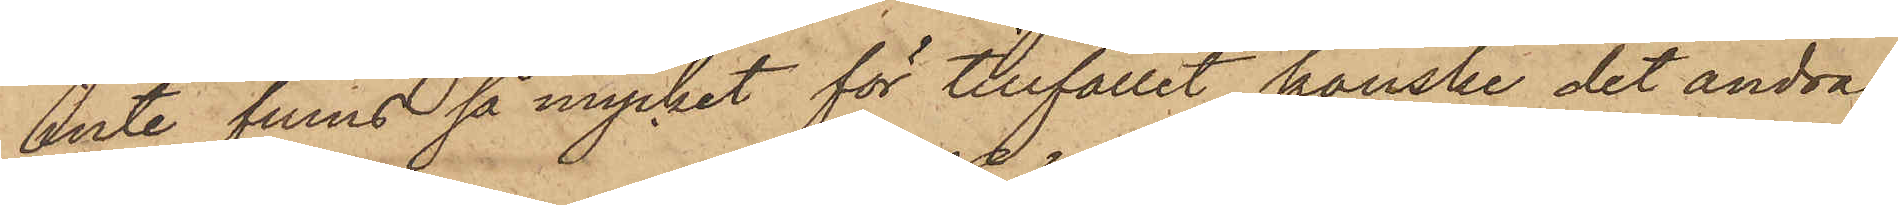inte finns så mycket för tillfället kanske det andra
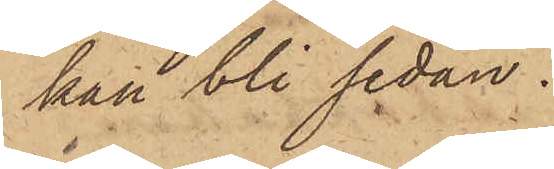kan bli sedan;
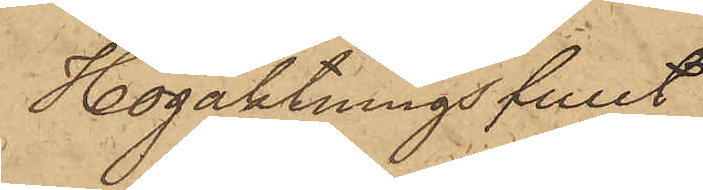Högaktningsfullt
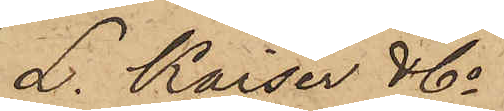L. Kaiser & Co
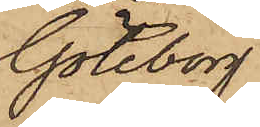Göteborg
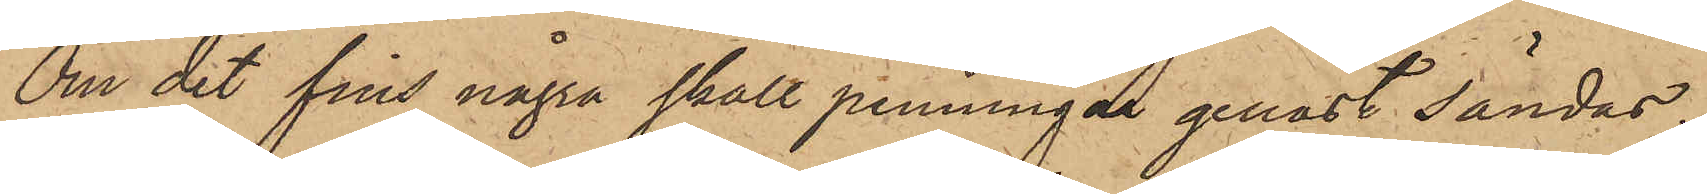Om det fins några skall penningar genast sändas
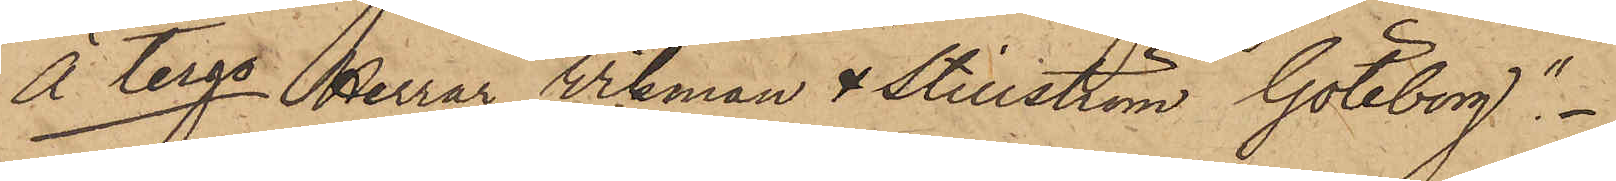À tergo Herrar Vikman & Stillström Göteborg."
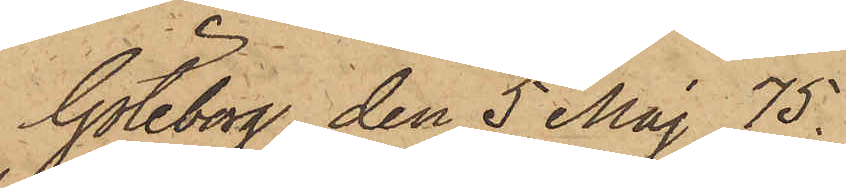Göteborg den 5 Maj 75.
